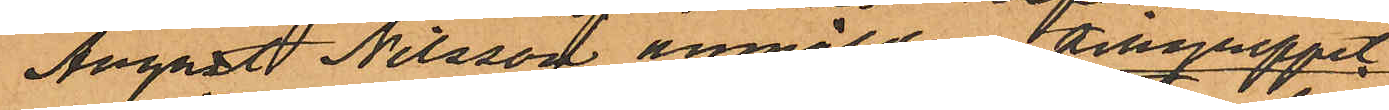August Nilsson anmälda tillgreppet
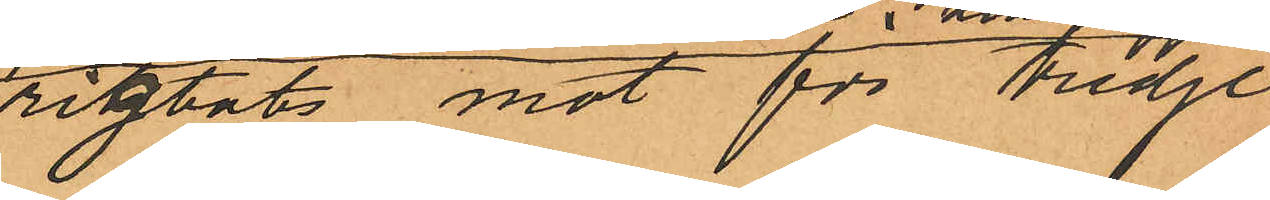rigtats mot för tredje
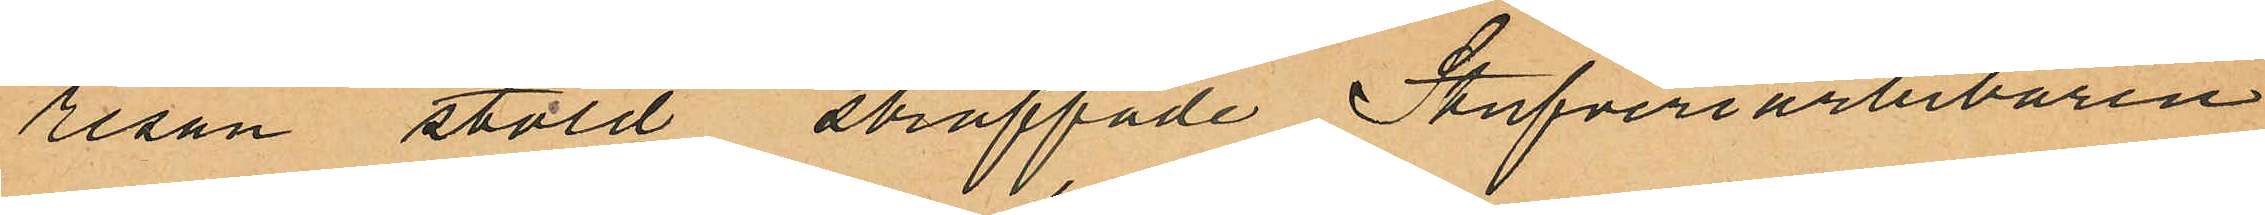resan stöld straffade Stufveriarbetaren
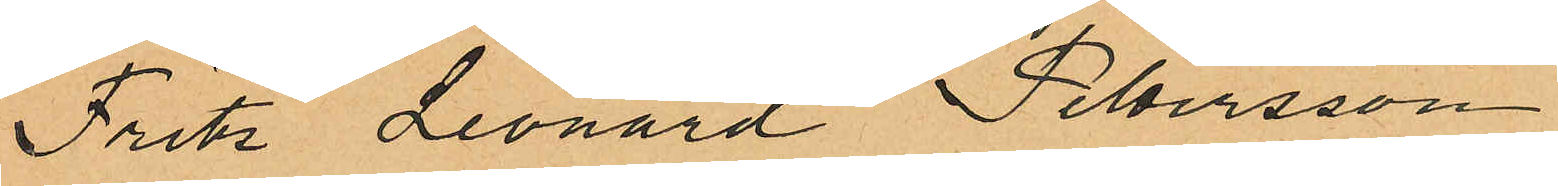Fritz Leonard Petersson
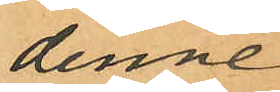denne
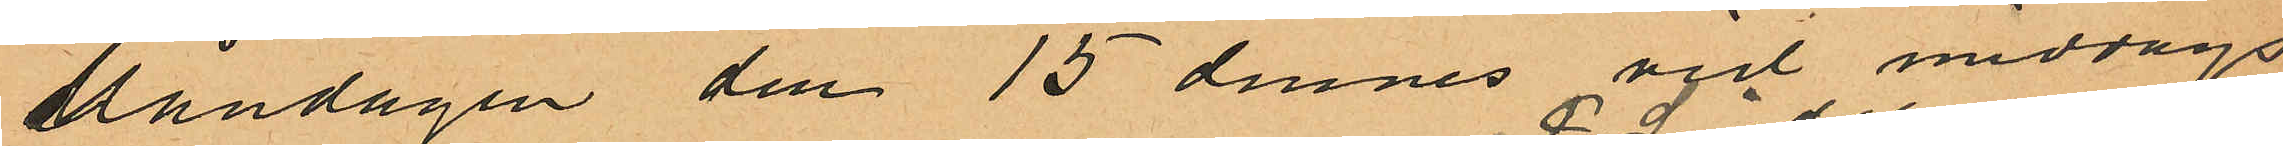Måndagen den 15 dennes vid middags
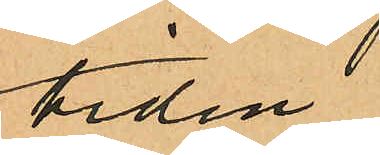tiden
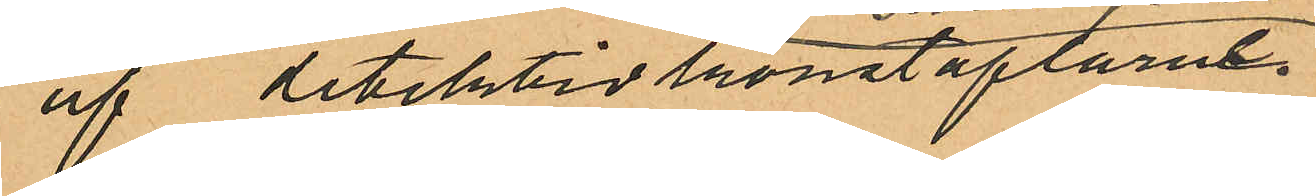af detektivkonstaplarne
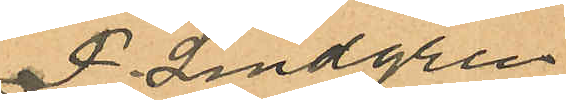F. Lindgren
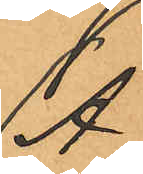A.
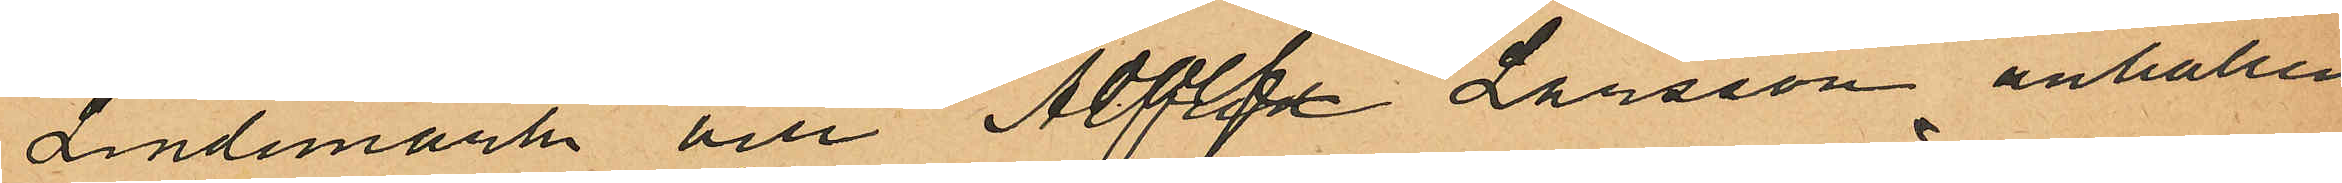Lindemark och Adolf Larsson anhållen
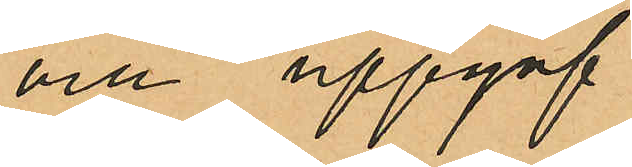och uppgaf
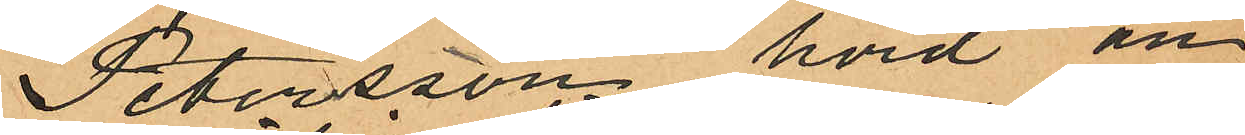Petersson, hörd an¬
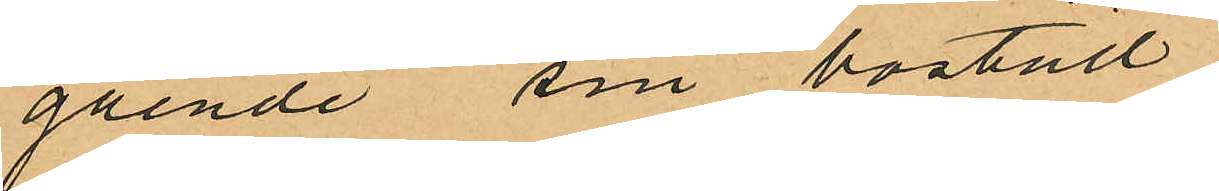gående sin bostad
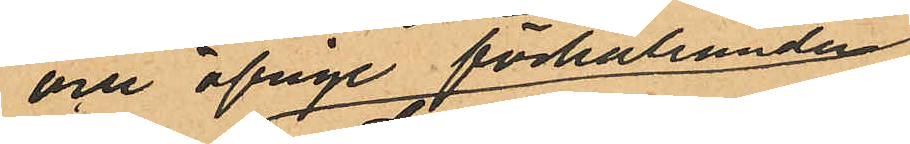och öfrige förhållanden
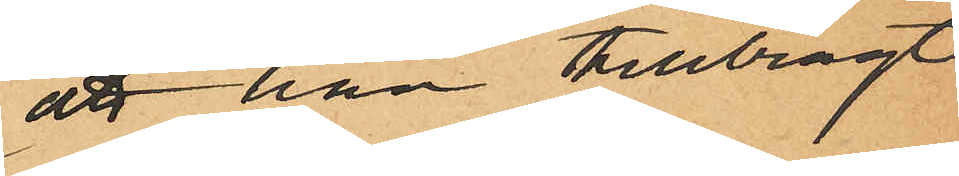att han tillbragt
